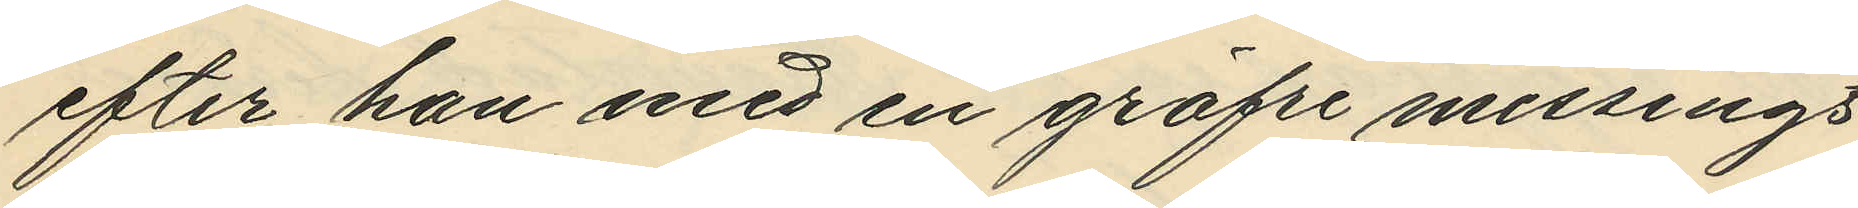efter han med en gröfre messings¬
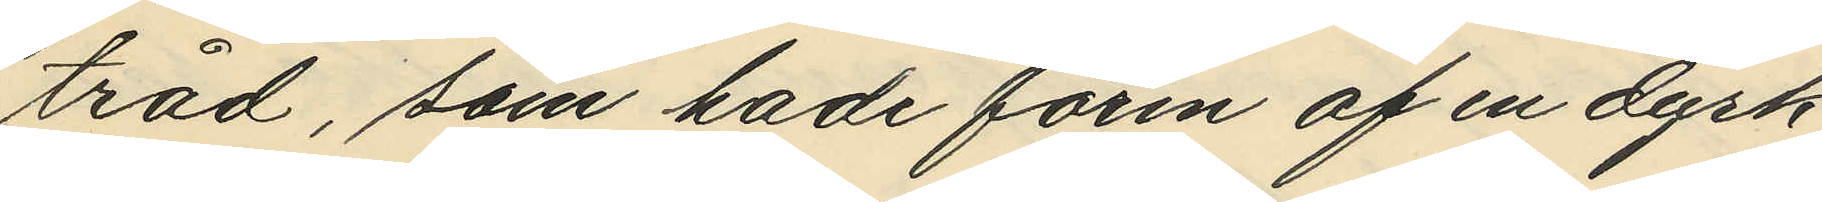tråd, som hade form af en dyrk
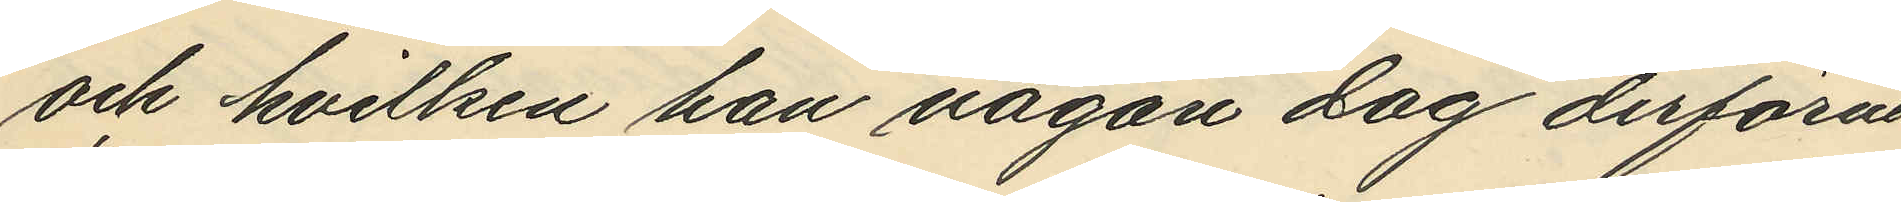och hvilken han någon dag derförut
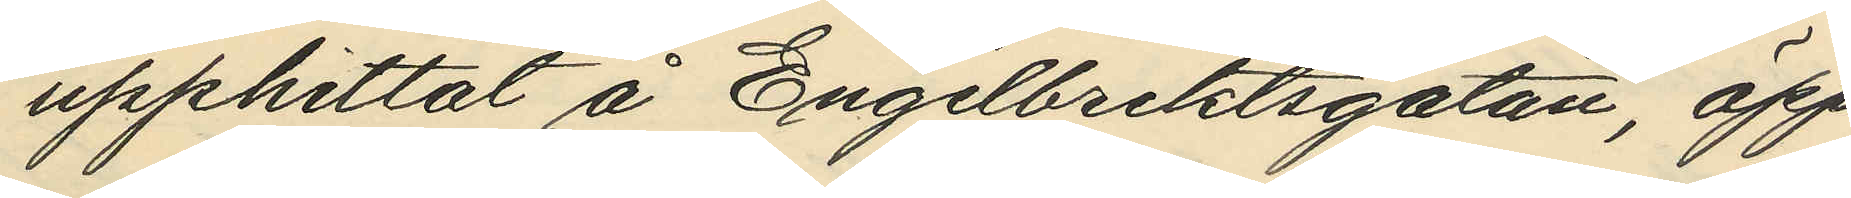upphittat å Engelbrektsgatan, öpp¬
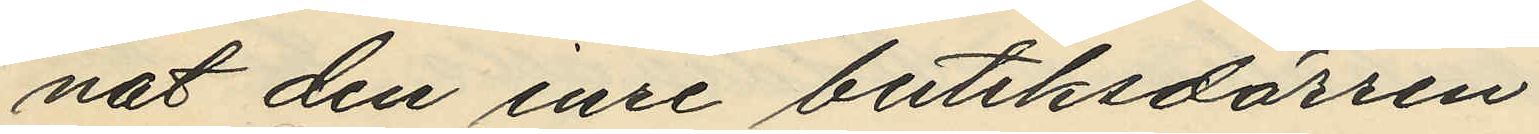nat den inre butiksdörren;
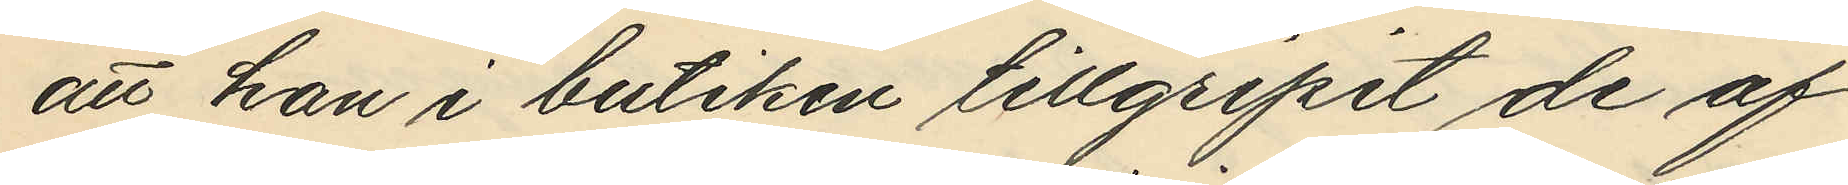att han i butiken tillgripit de af
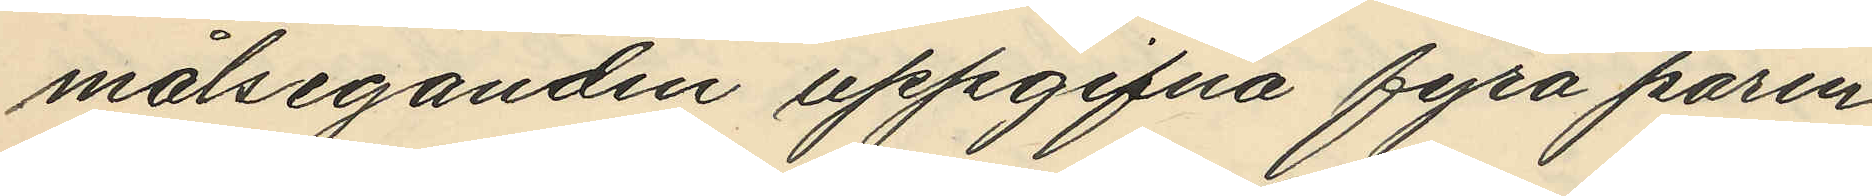målsäganden uppgifna fyra paren
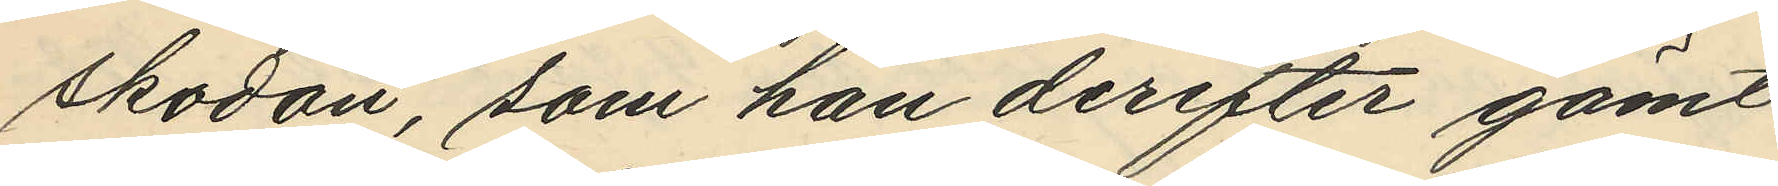skodon, som han derefter gömt
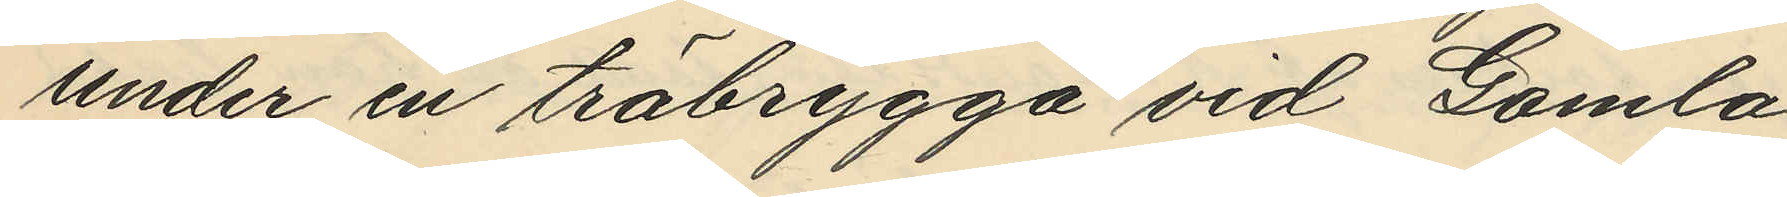under en träbrygga vid Gamla
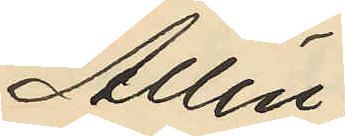Allén;
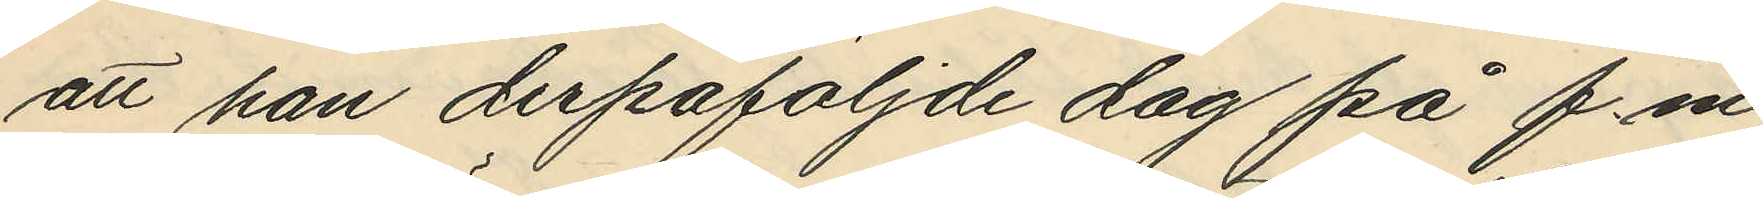att han derpåföljde dag på f.m.
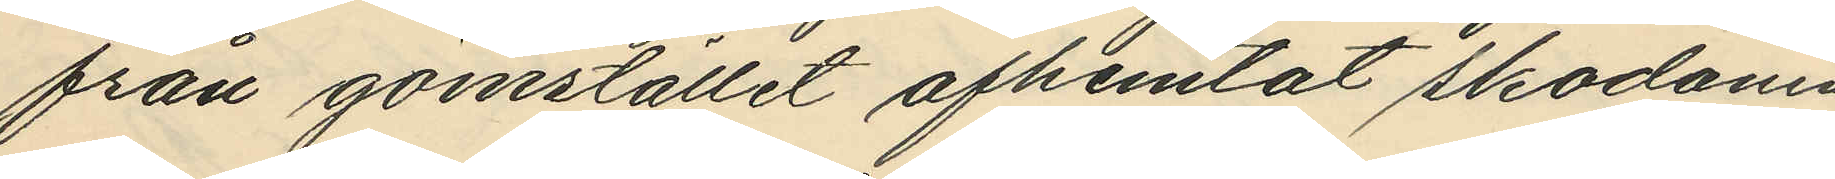från gömstället afhemtat skodonen
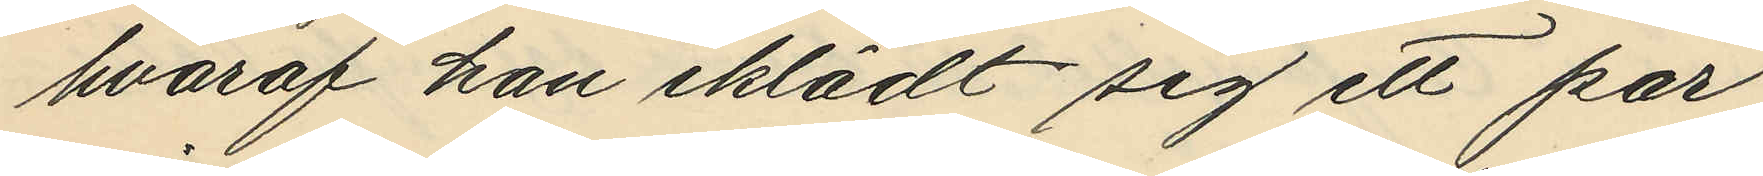hvaraf han iklädt sig ett par
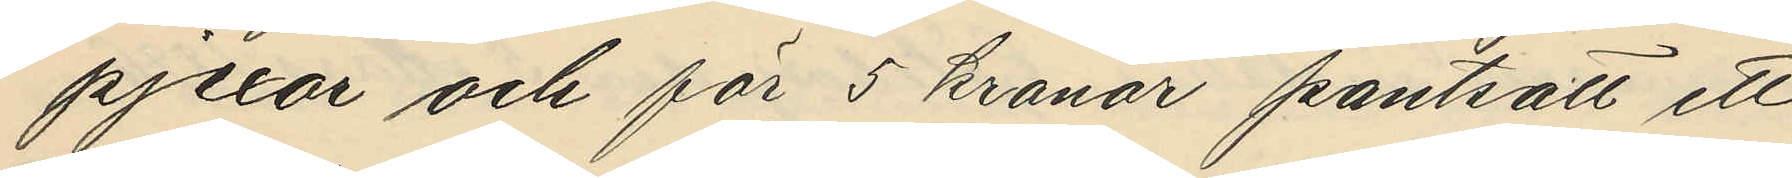pjexor och för 5 kronor pantsatt ett
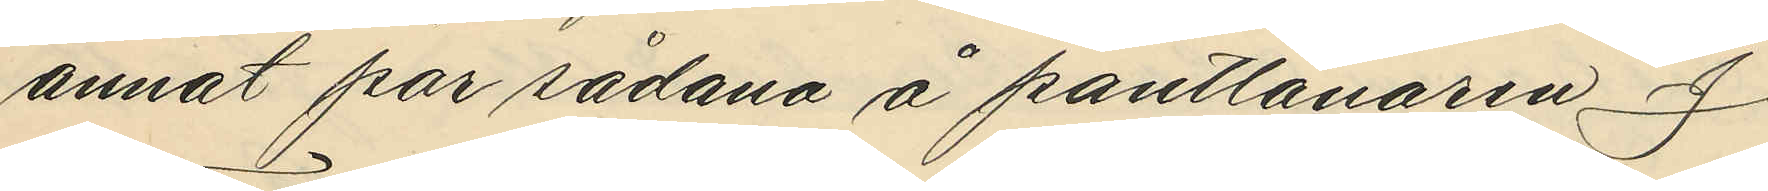annat par sådana å pantlånaren J.
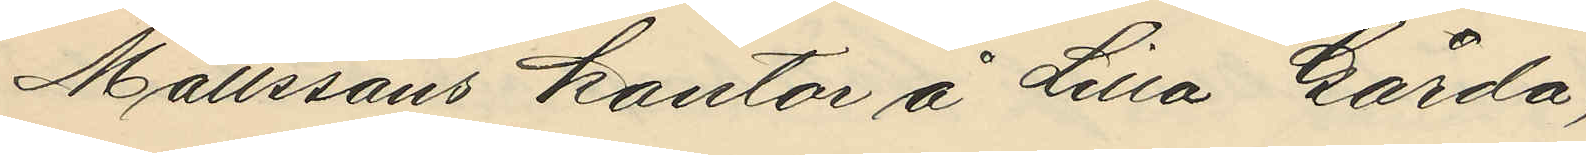Matssons kontor å Lilla Gårda;
